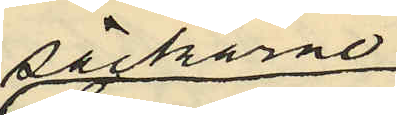säckarne
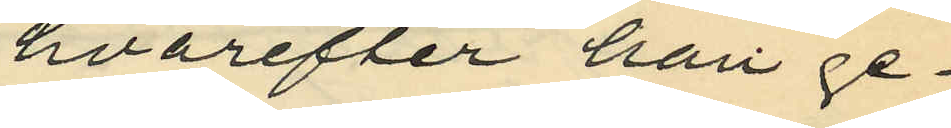hvarefter han ge¬
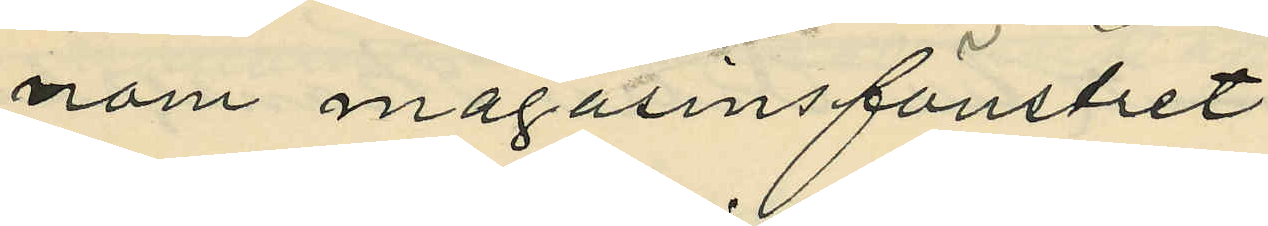nom magasinsfönstret
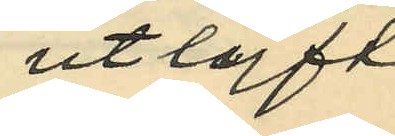utlyft
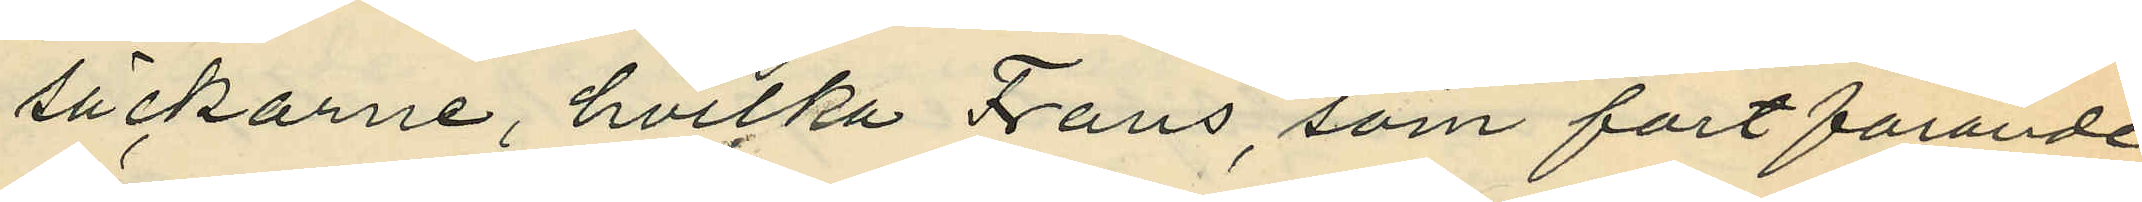säckarne, hvilka Frans, som fortfarande
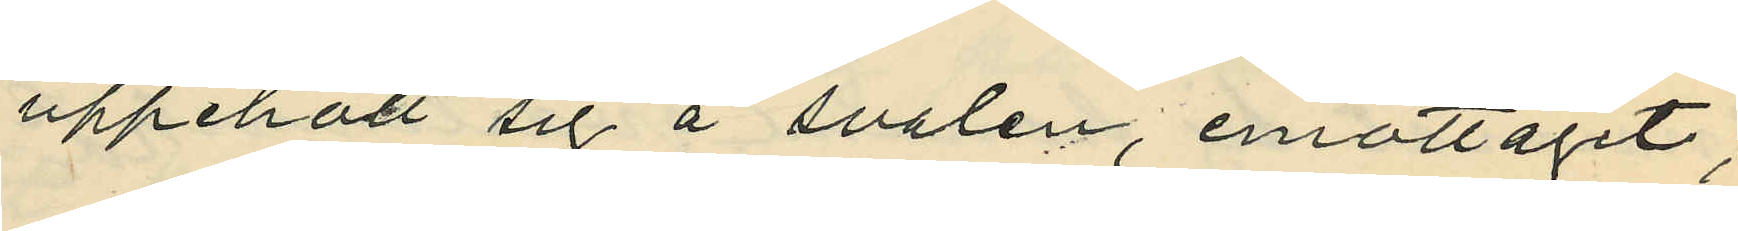uppehöll sig å svalen, emottagit;
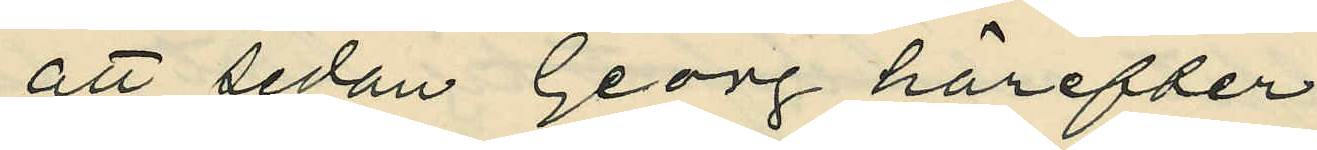att sedan Georg härefter
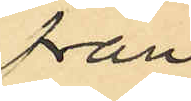från
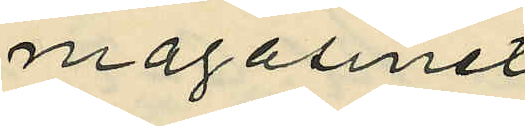magasinet
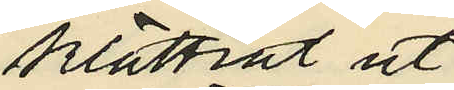klättrat ut
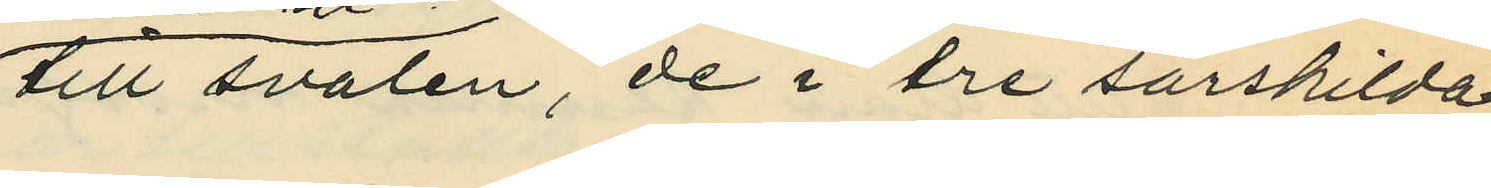till svalen, de i tre särskilda
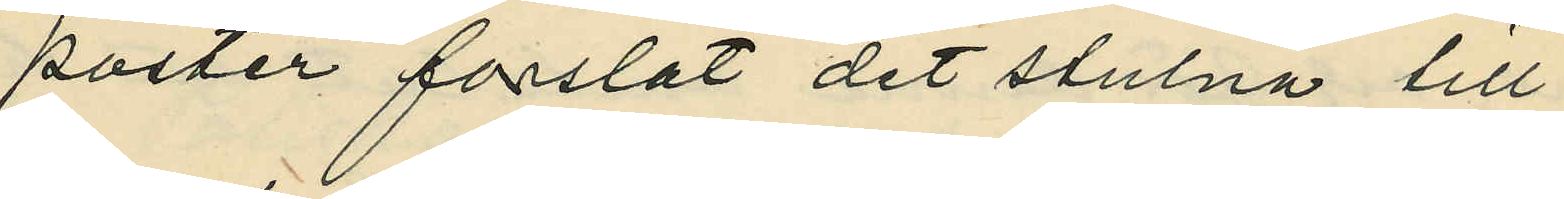poster forslat det stulna till
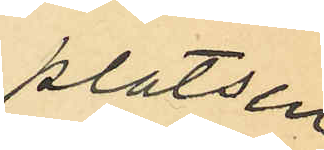platsen
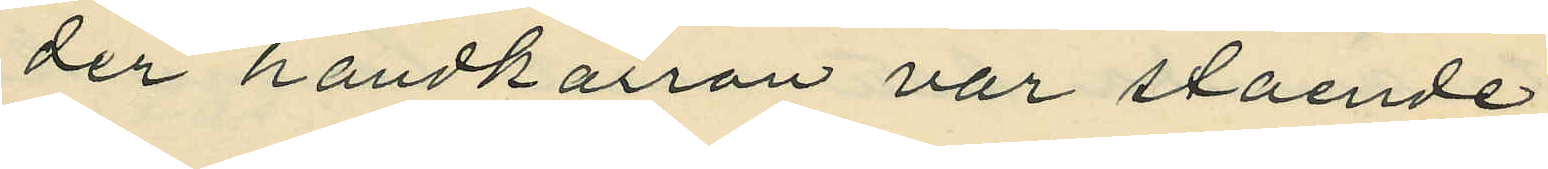der handkärran var stående;
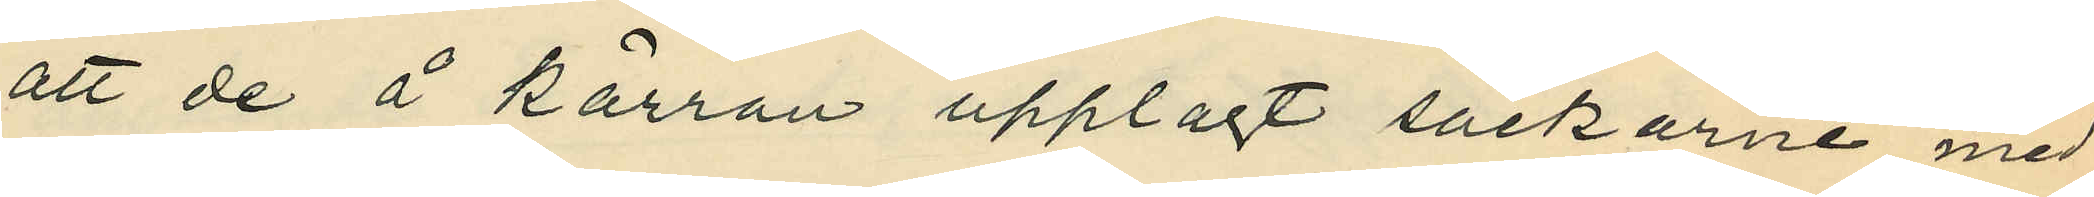att de å kärran upplagt säckarne med
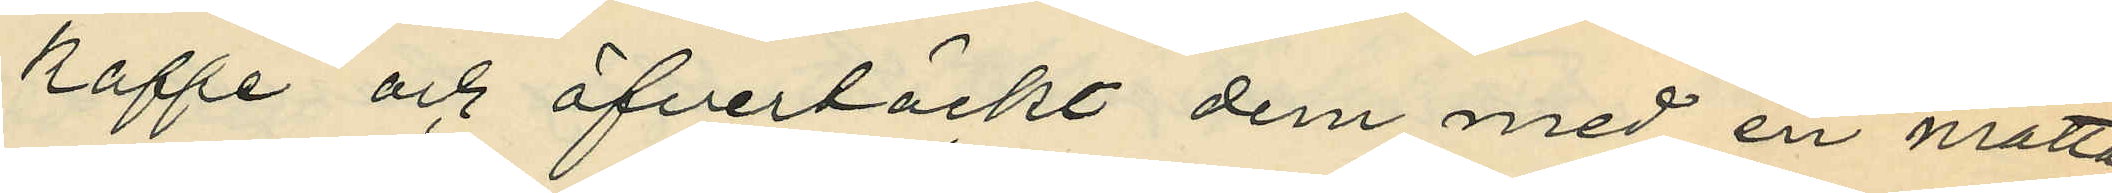kaffe och öfvertäckt dem med en matta
